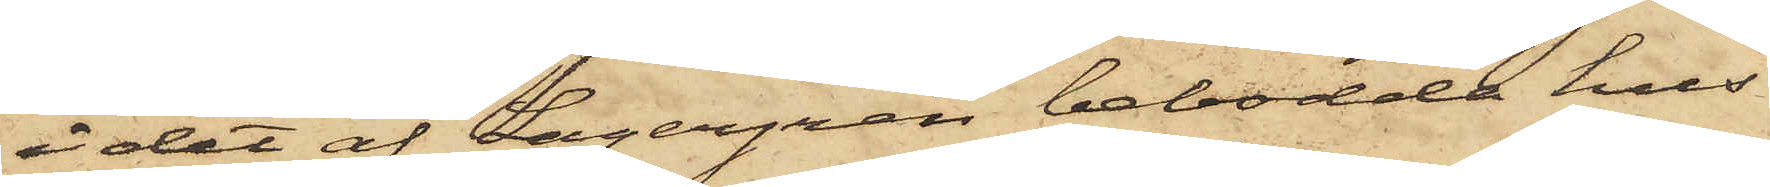i det af Lagergren bebodde hus
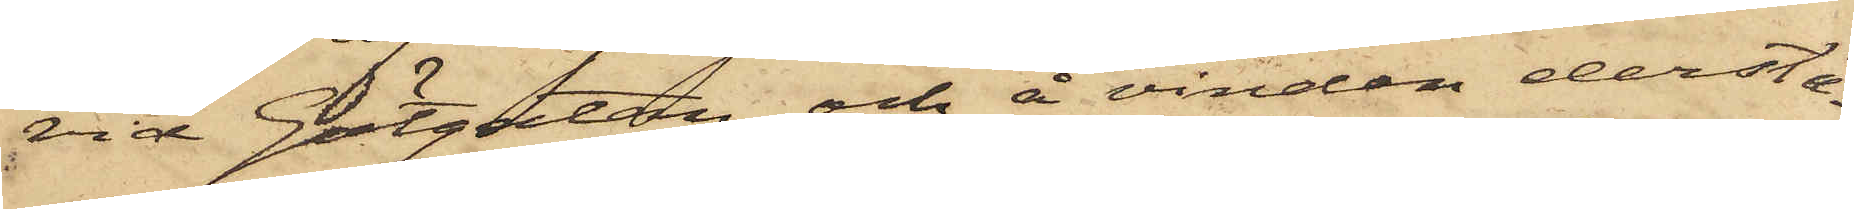vid Götgatan och å vinden derstä¬
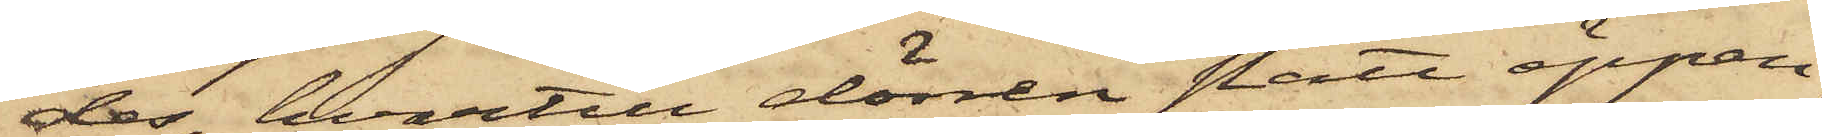des, hvartill dörren stått öppen,
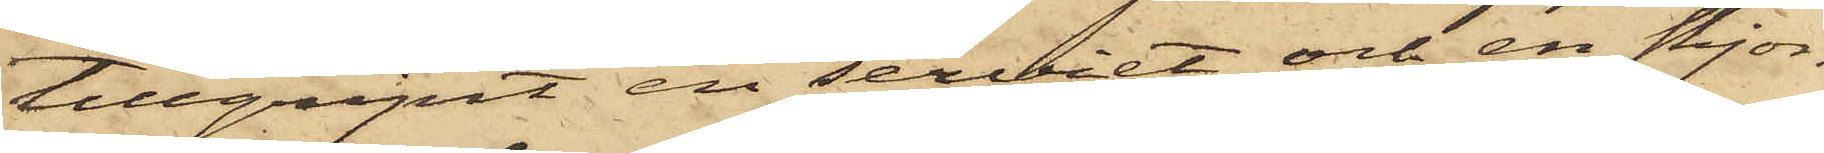tillgipit en serviet och en skjor¬
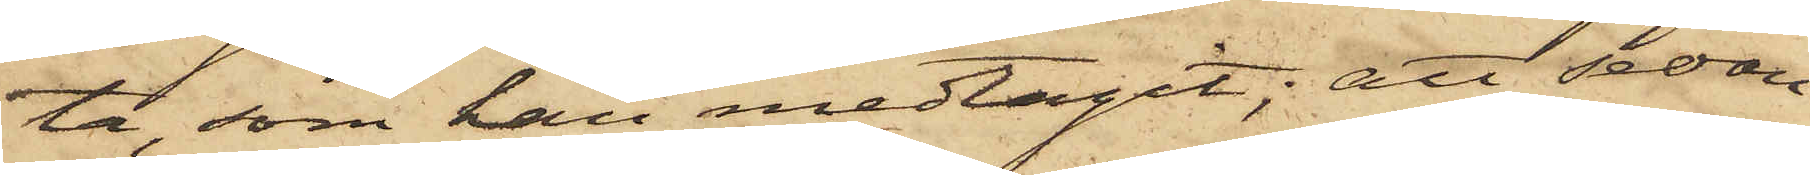ta, som han medtagit; att sedan
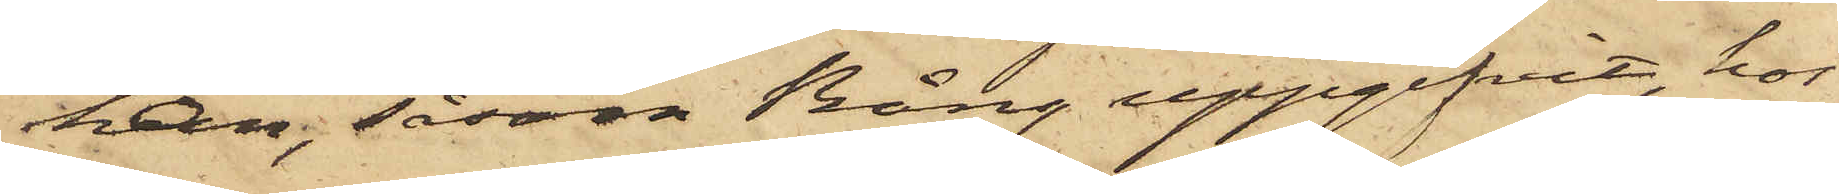han, såsom Bång uppgifvit, hos
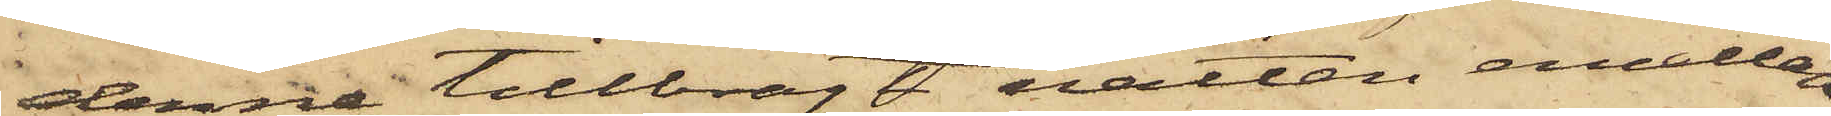denne tillbragt natten emellan
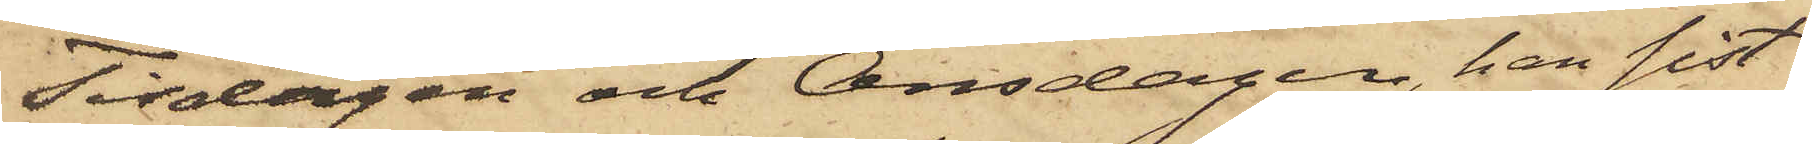Tisdagen och Onsdagen, han sist.
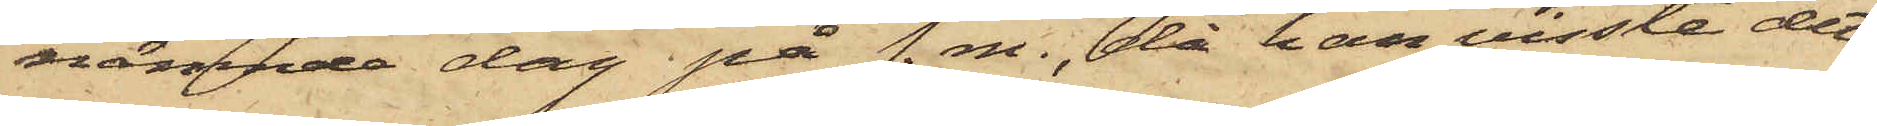nämnde dag på f.m., då han visste det
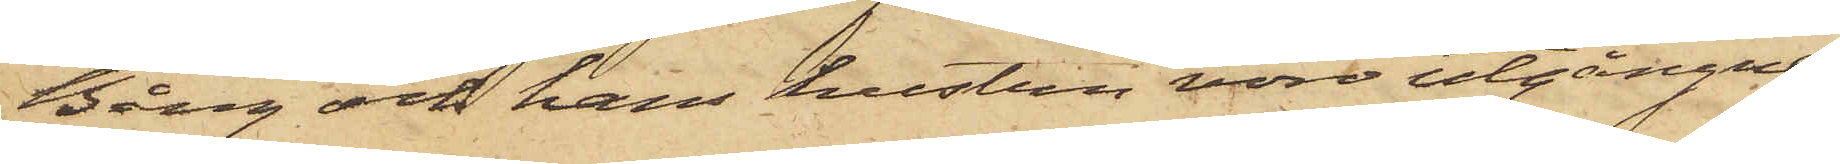Bång och hans hustru vore utgångne
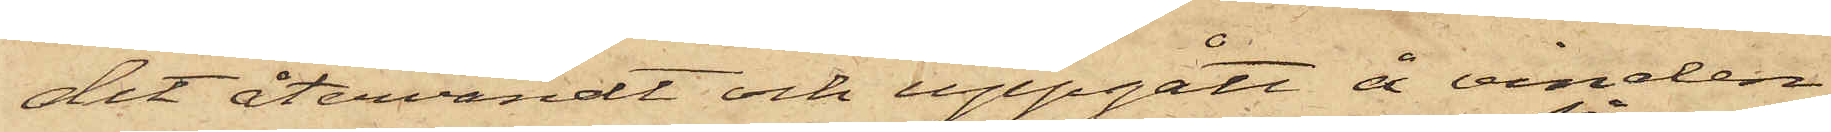dit återvändt och uppgått å vinden,
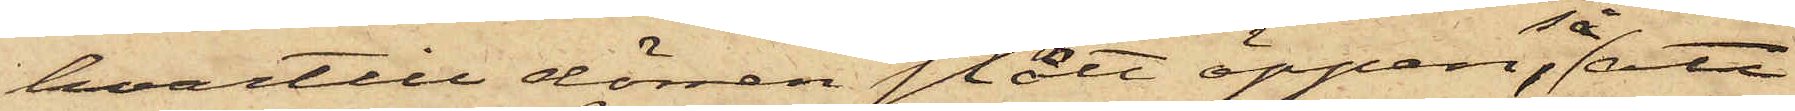hvartill dörren stått öppen; så att
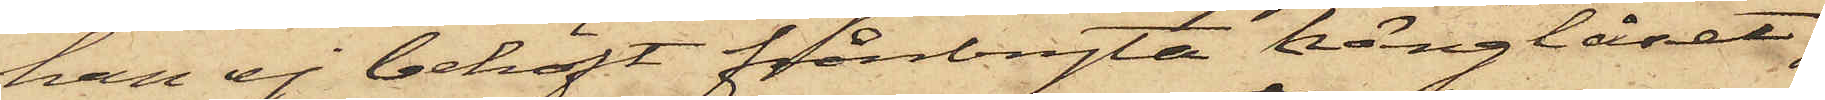han ej behöft frånbryta hänglåset;
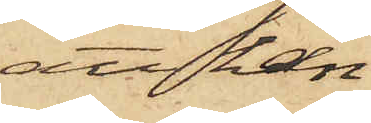att han
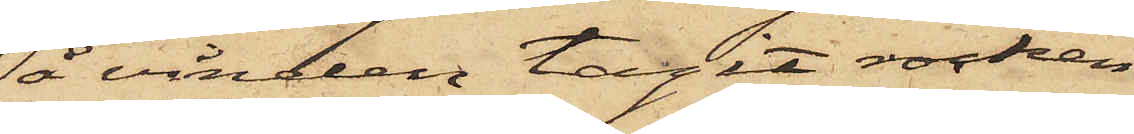å vinden tagit rocken
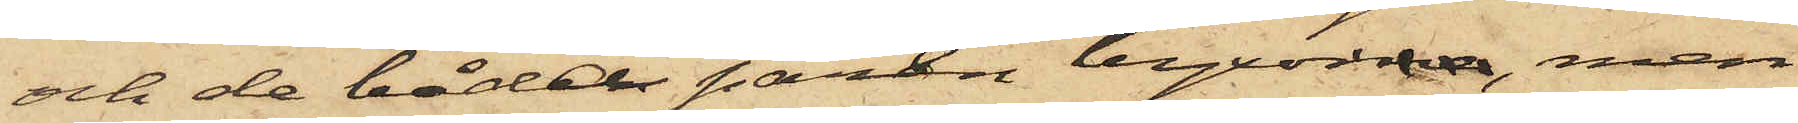och de båda paren byxorna, men
